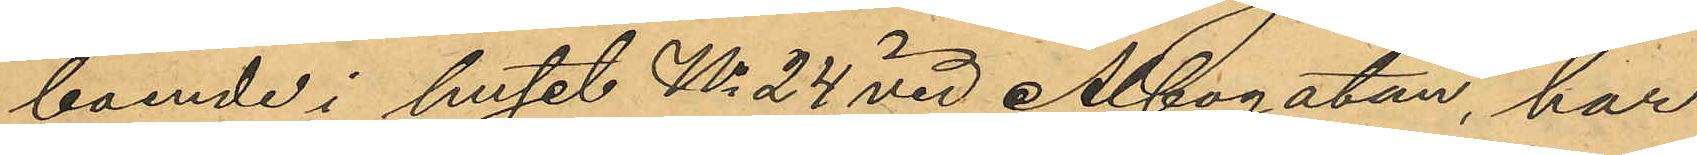boende i huset No 24 vid Albogatan, har
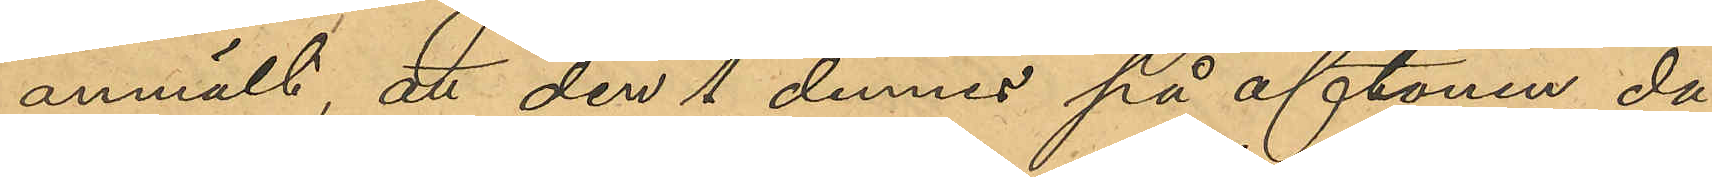anmält, att den 1 dennes på aftonen, då
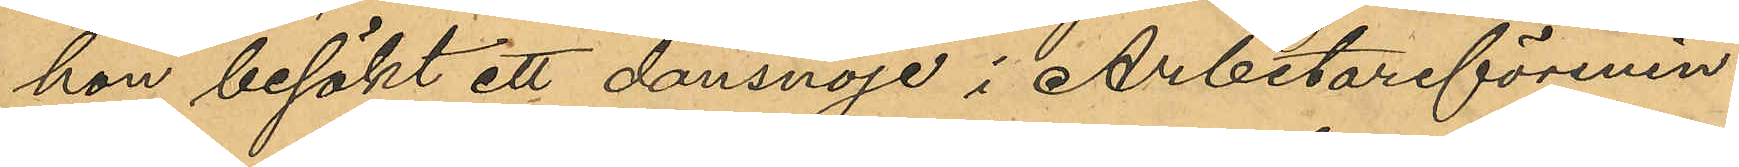hon besökt ett dansnöje i Arbetareförenin¬
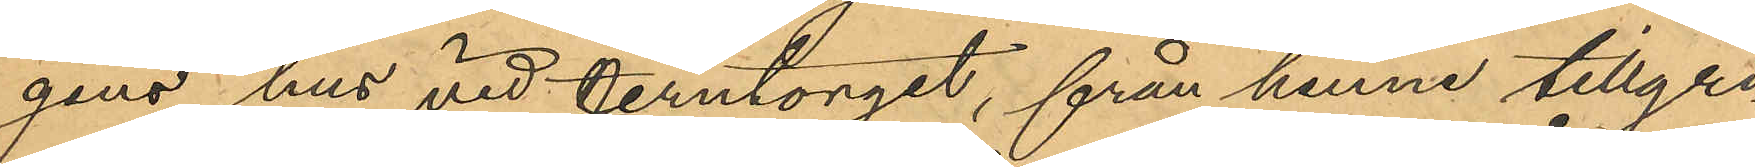gens hus vid Jerntorget, från henne tillgri¬
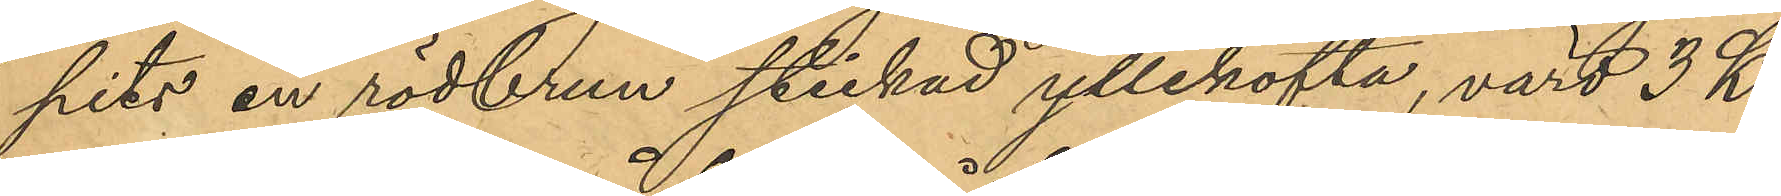pits en rödbrun stickad yllekofta, värd 3 Kr.
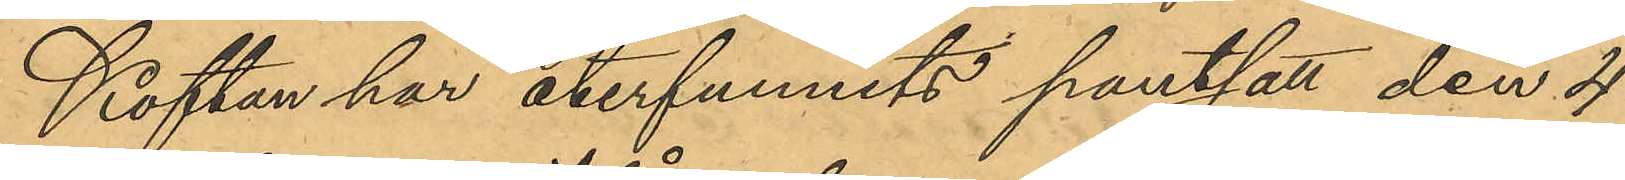Koftan har återfunnits pantsatt den 4
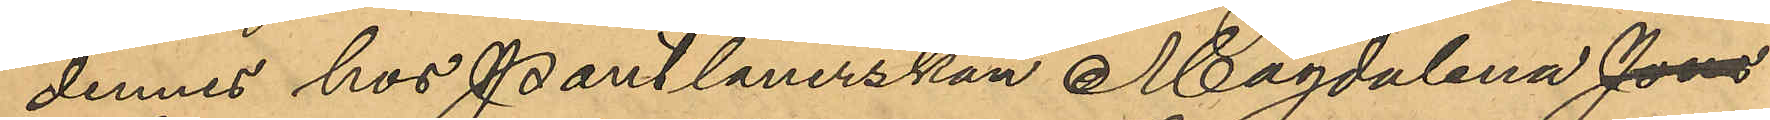dennes hos Pantlånerskan Magdalena Jons
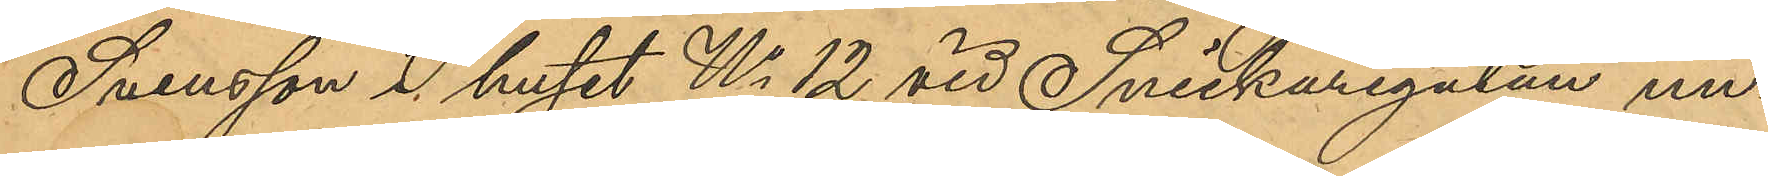Svensson i huset No 12 vid Snickaregatan un¬
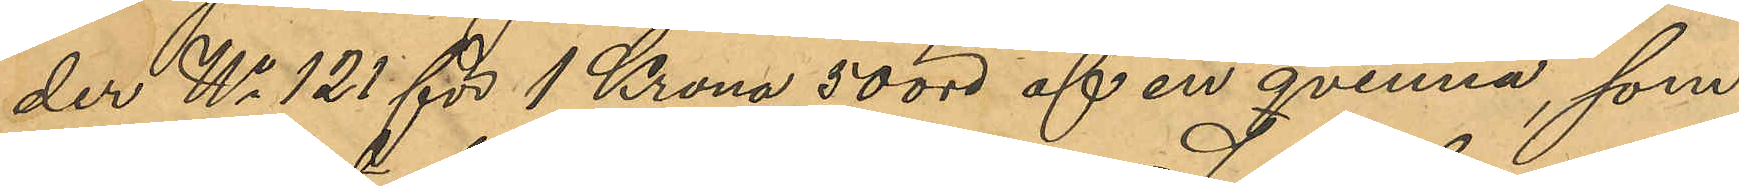der No 121 för 1 Krona 50 öre af en qvinna, som
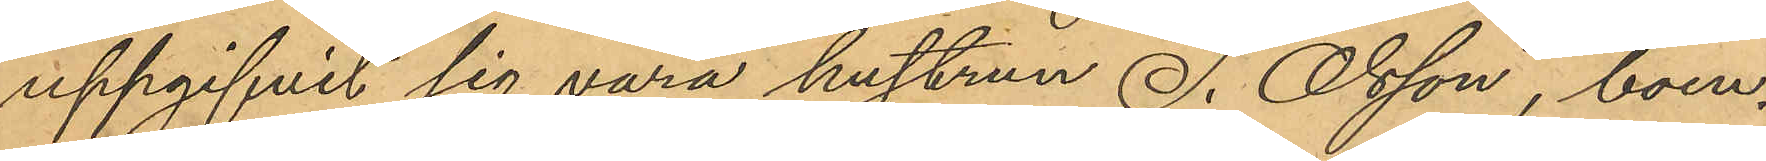uppgifvit sig vara hustrun S. Olsson, boen¬
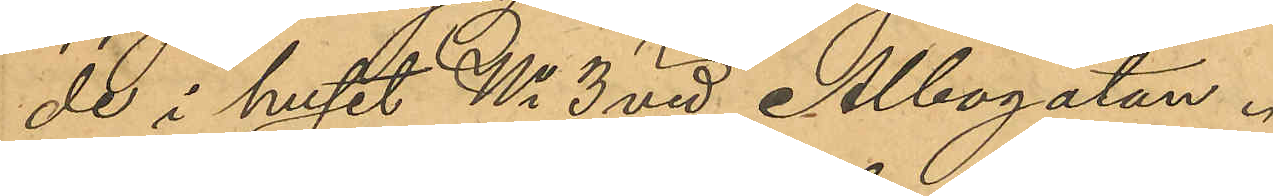de i huset No 3 vid Albogatan.
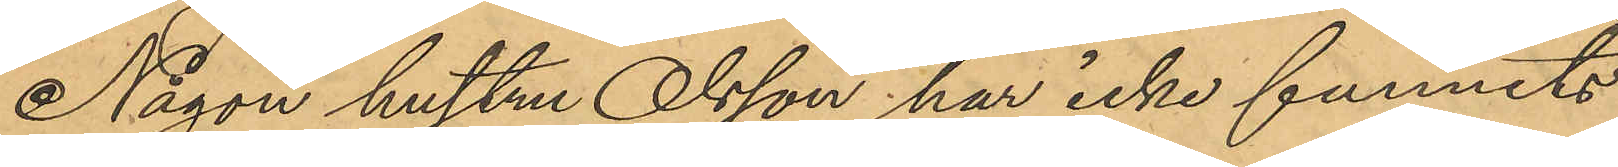Någon hustru Olsson har icke funnits
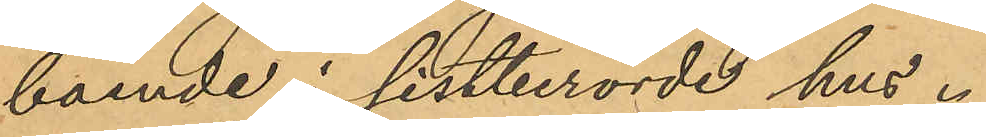boende i sistberörde hus.
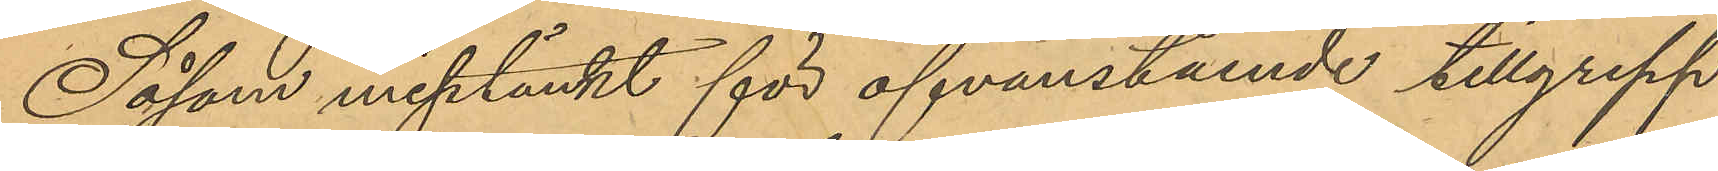Såsom misstänkt för ofvanstående tillgrepp
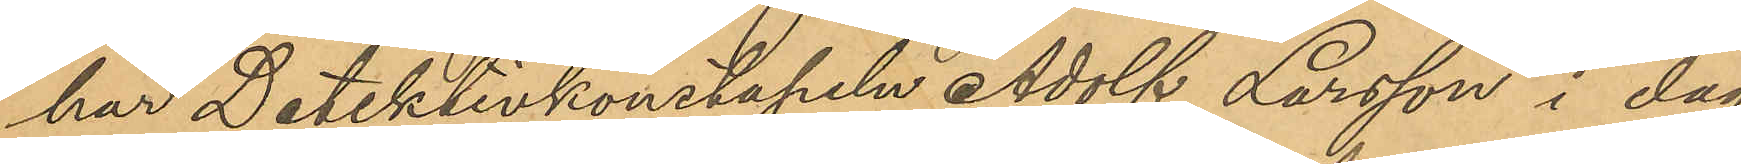har Detektivkonstapeln Adolf Larsson i dag
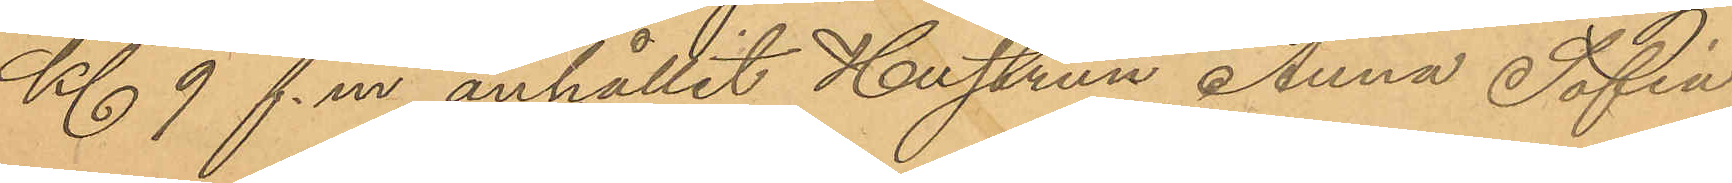Kl 9 f.m. anhållit Hustrun Anna Sofia
